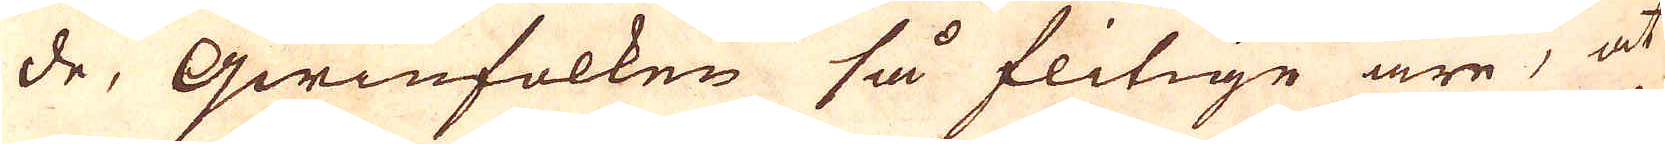de, qwinfolken så flitige äre, at
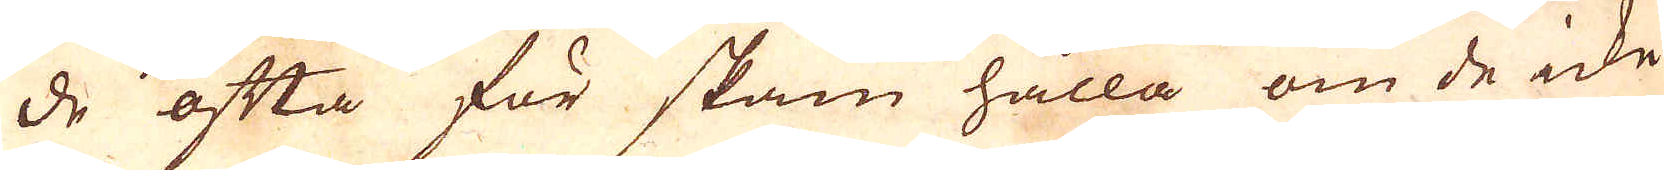de ofta för skam hålla om de icke
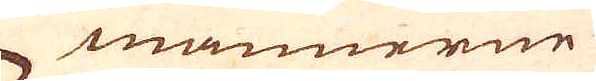männerne
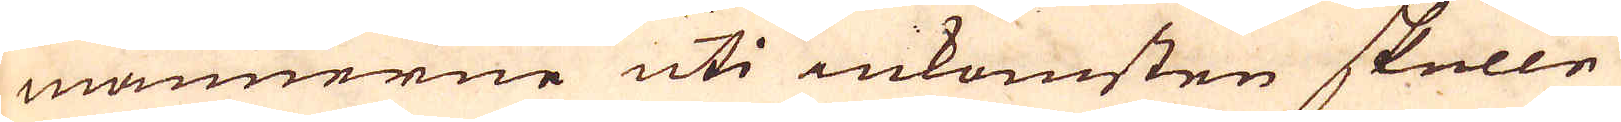männerne uti inkomsten skulle
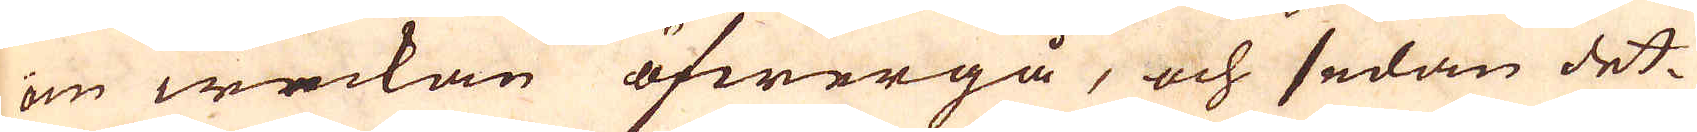om weckan öfwergå, och sedan det-
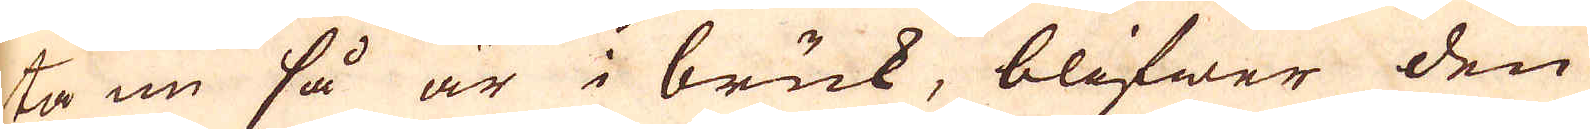ta nu så är i bruk, blifwer den
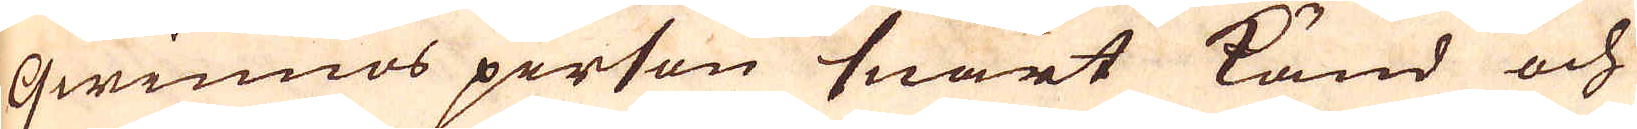qwinnos person snart känd och
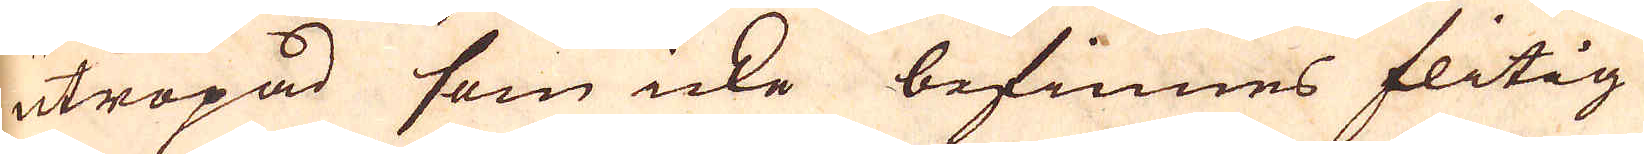utropad som icke befinnes flitig
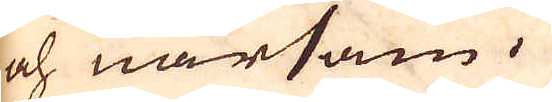och närsam.
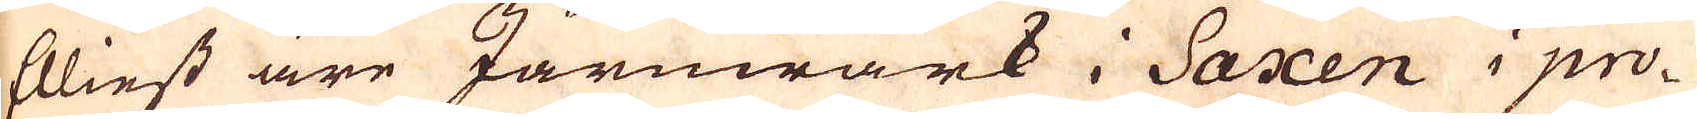Elliest äre Järnwärk i Saxen i pro-
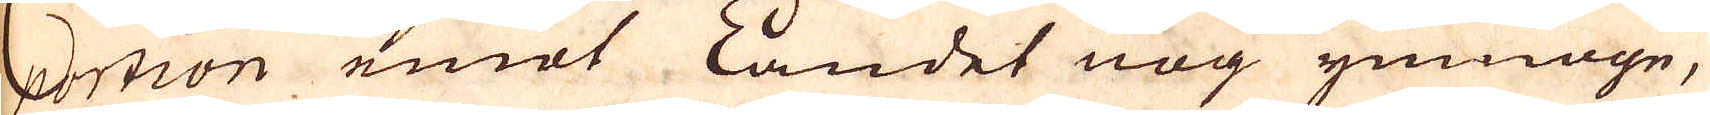portion emot Landet nog ymnoge,
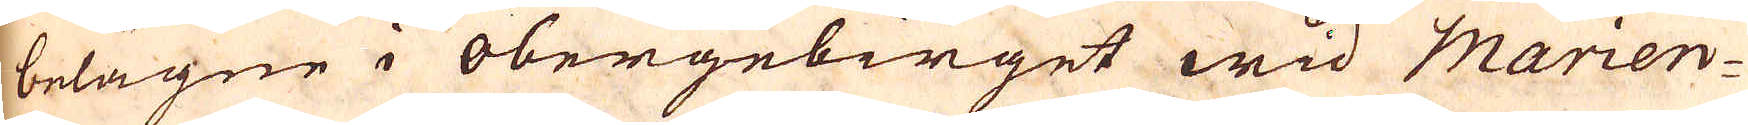belägne i obergebirget wid Marien-
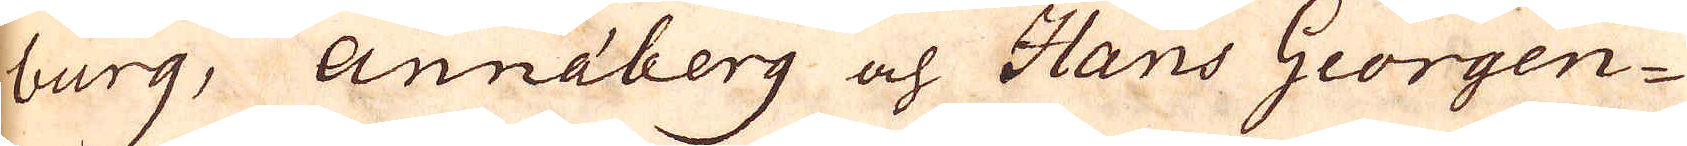burg, Annaberg och Hans Georgen-
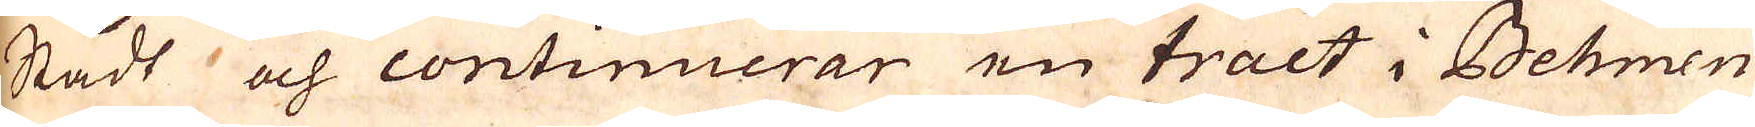Stadt och continuerar en tract i Behmen
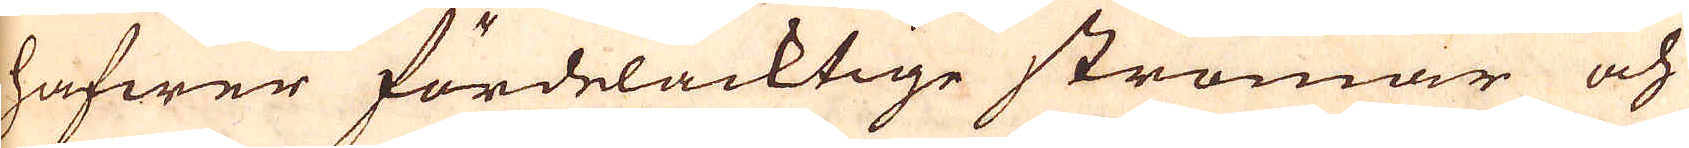hafwer fördelacktige strömar och
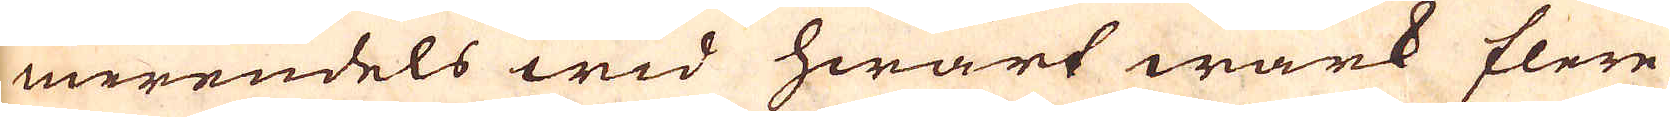merendels wid hwart wärk flere
